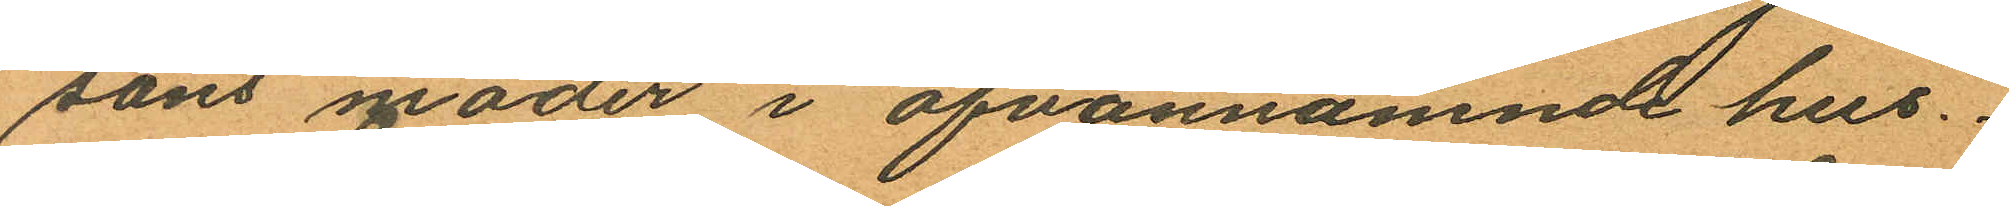sons moder i ofvannämnde hus.
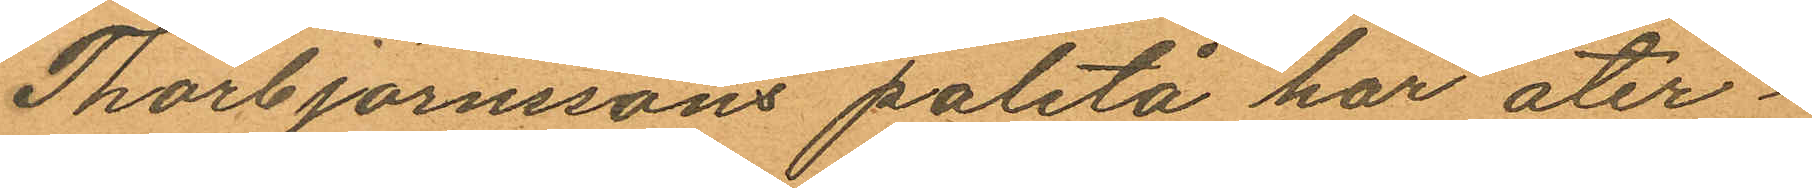Thorbjörnssons paletå har åter¬
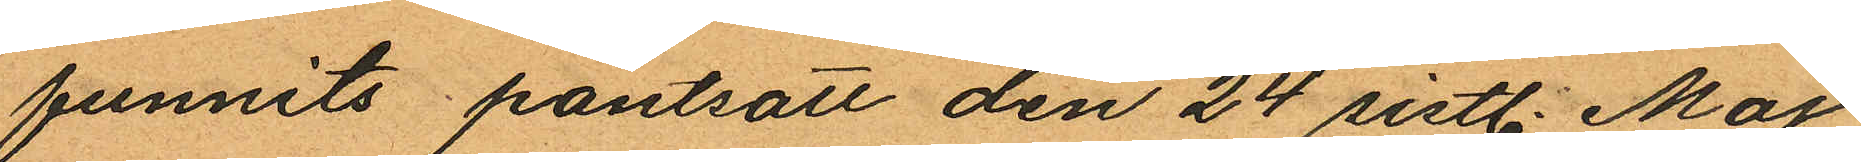funnits pantsatt den 24 sistl. Maj
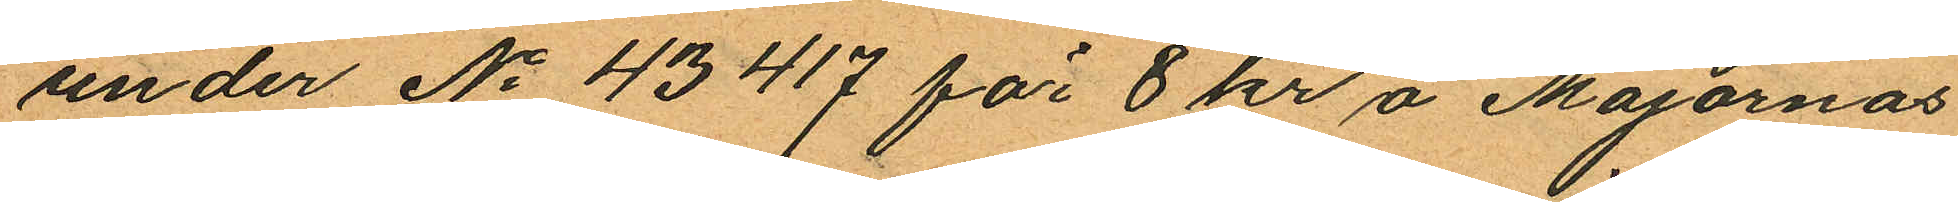under No 43417 för 8 kr å Majornas
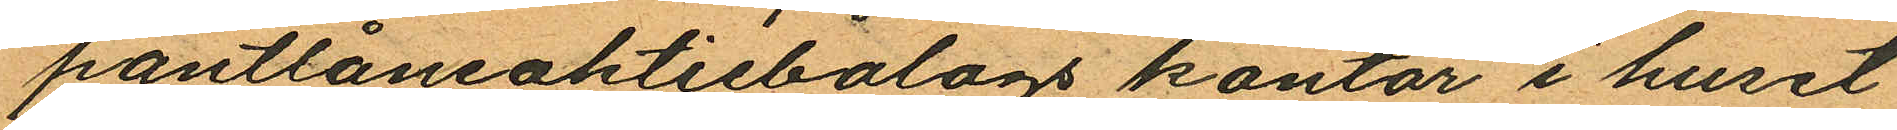pantlåneaktiebolags kontor i huset
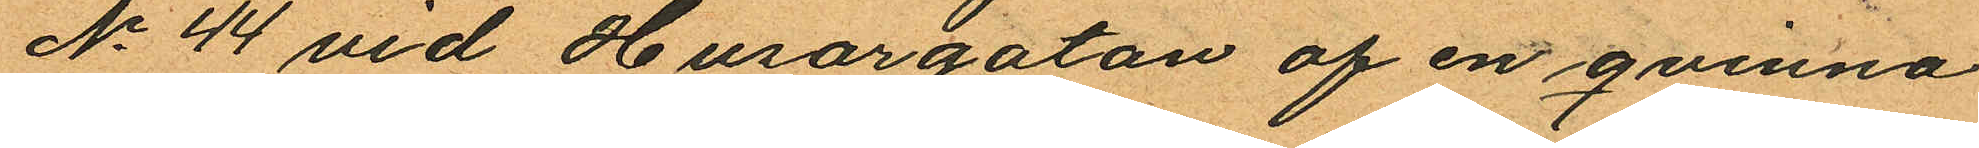No 44 vid Husargatan af en qvinna
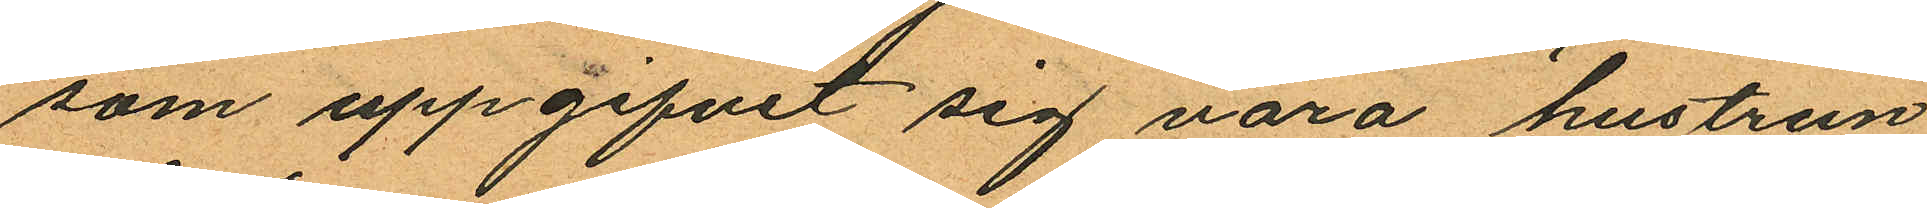som uppgifvit sig vara hustrun
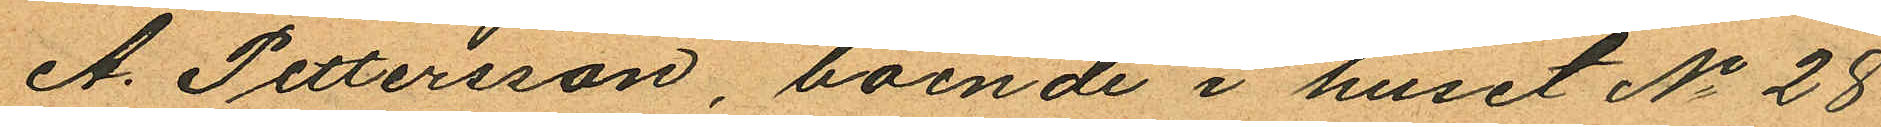A. Pettersson, boende i huset No 28
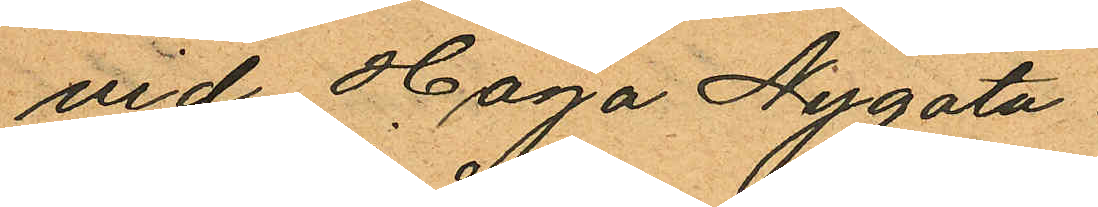vid Haga Nygata
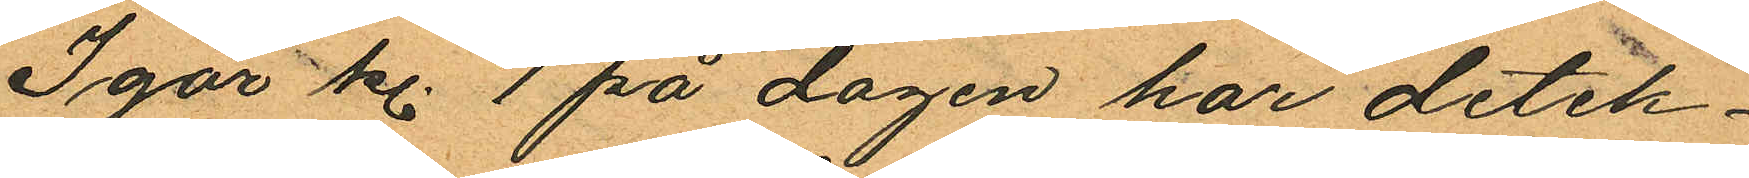Igår kl. 1 på dagen har detek¬
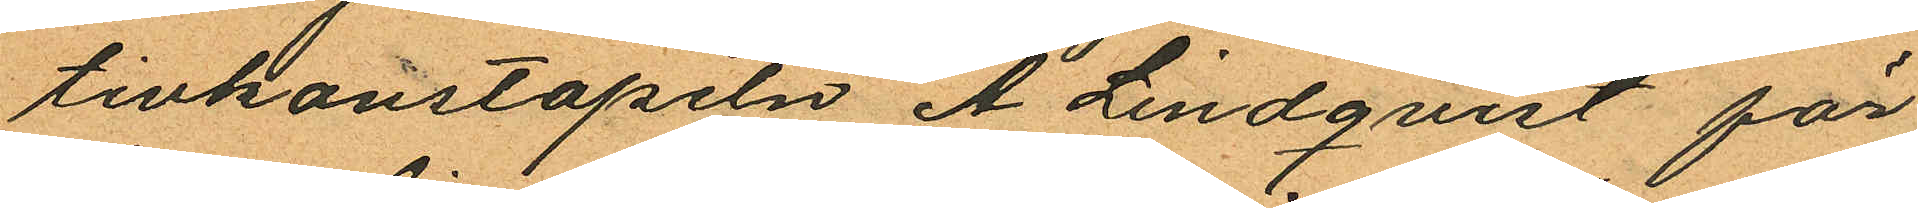tivkonstapeln A. Lindquist för
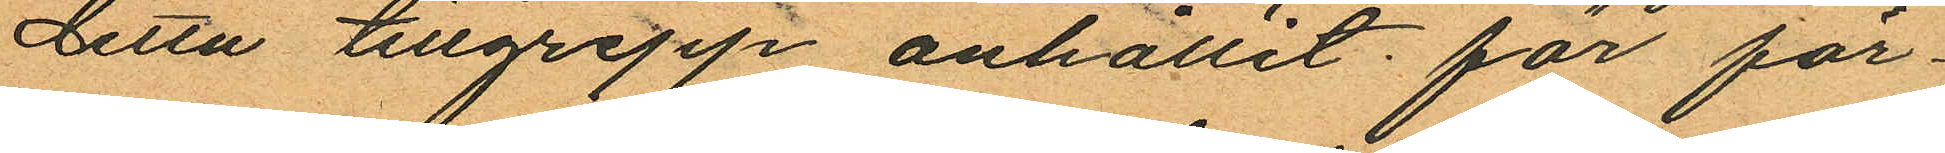detta tillgrepp anhållit för för¬
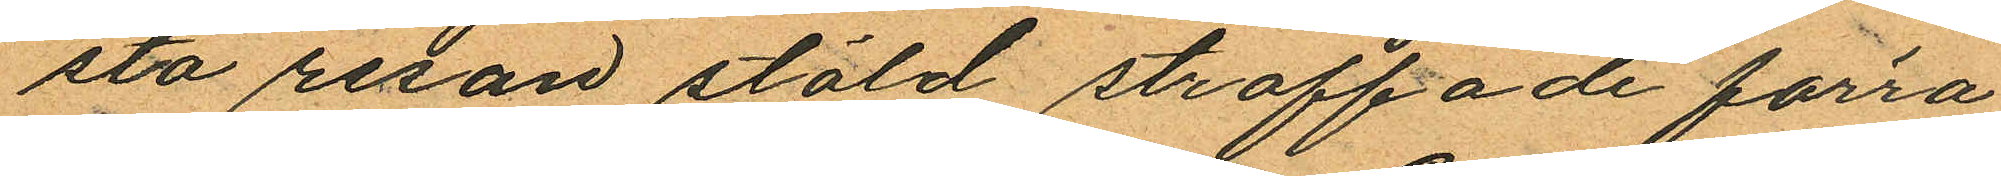sta resan stöld straffade förra
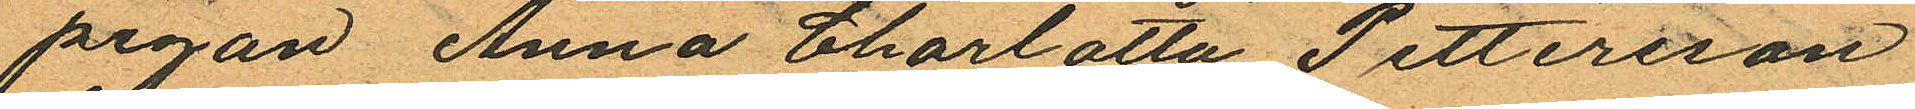pigan Anna Charlotta Pettersson
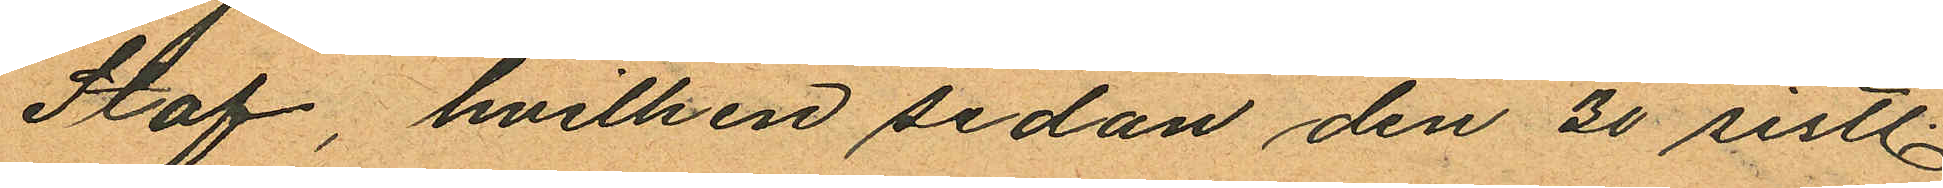Staf, hvilken sedan den 30 sistl
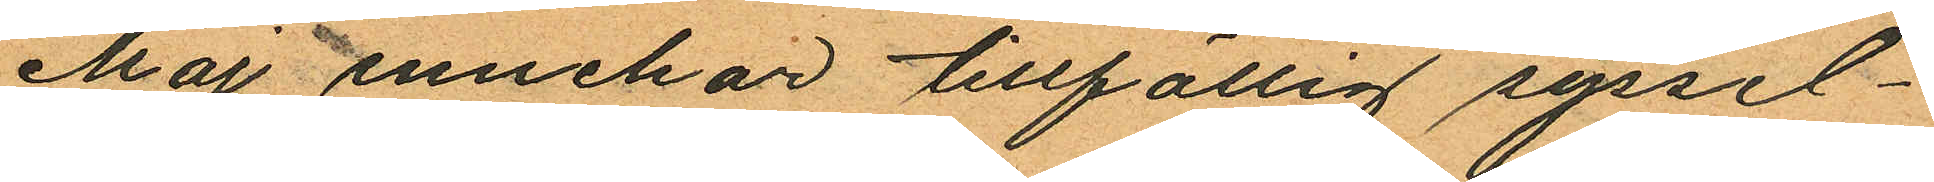Maj innehar tillfällig syssel¬
